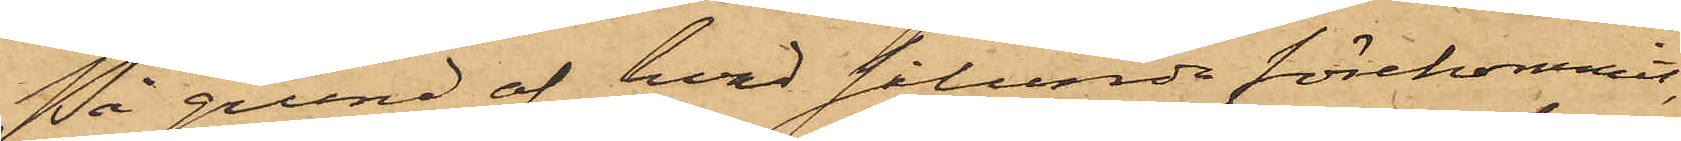På grund af hvad sålunda förekommit,
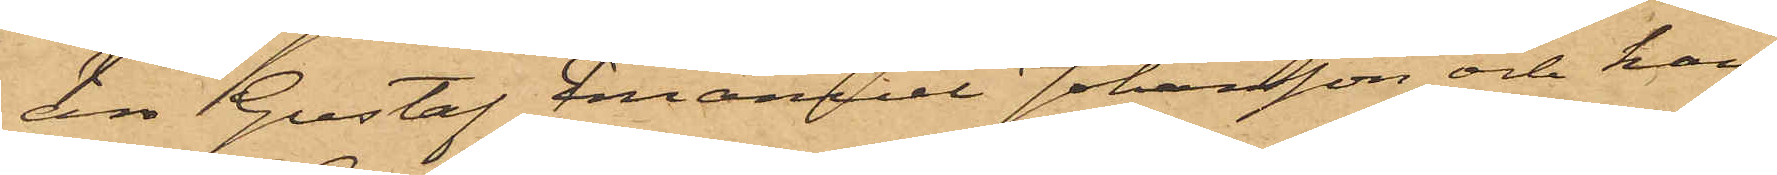äro Gustaf Emanuel Johansson och hans
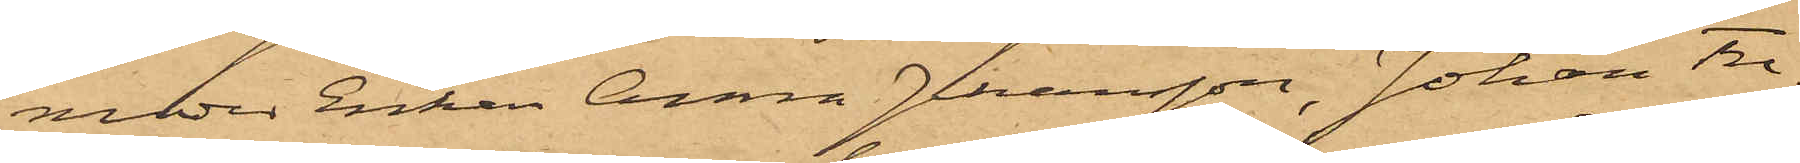moder Enkan Anna Johansson, Johan Fre¬
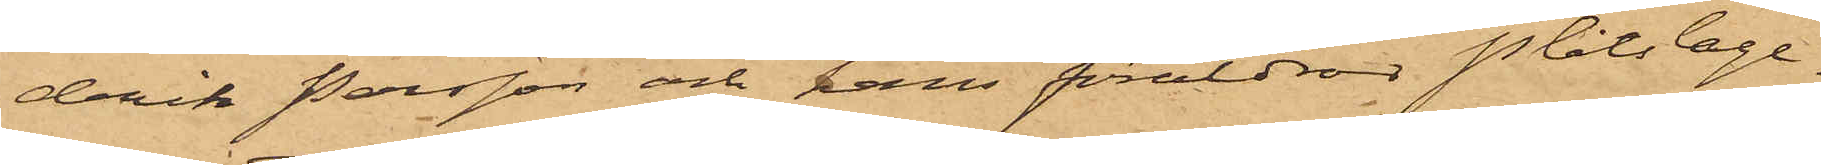drik Persson och hans föräldrar Plåtslage-
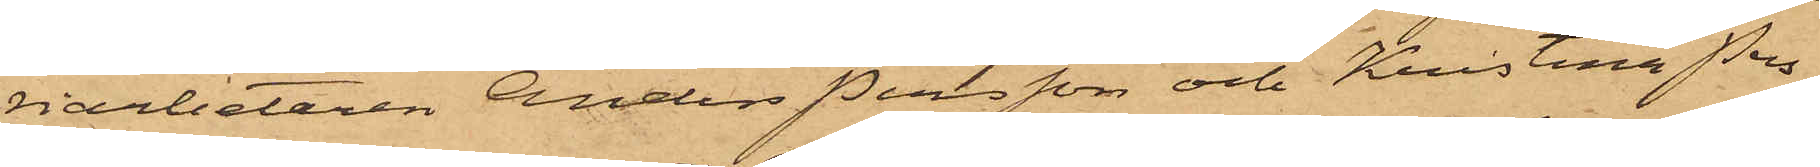riarbetaren Anders Persson och Kristina Pers¬
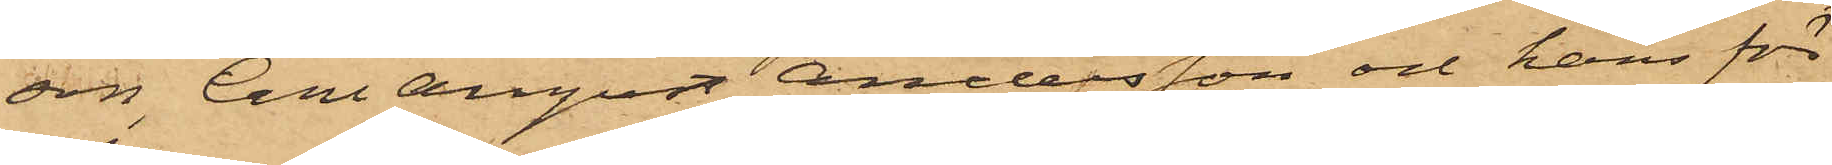son, Carl August Andersson och hans för¬
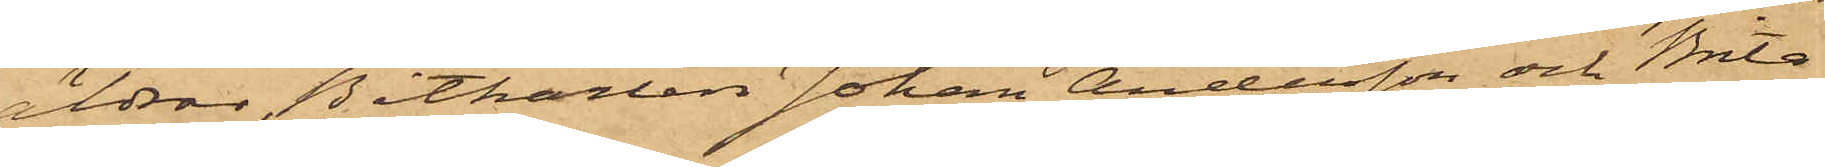äldrar Båtkarlen Johan Andersson och Brita
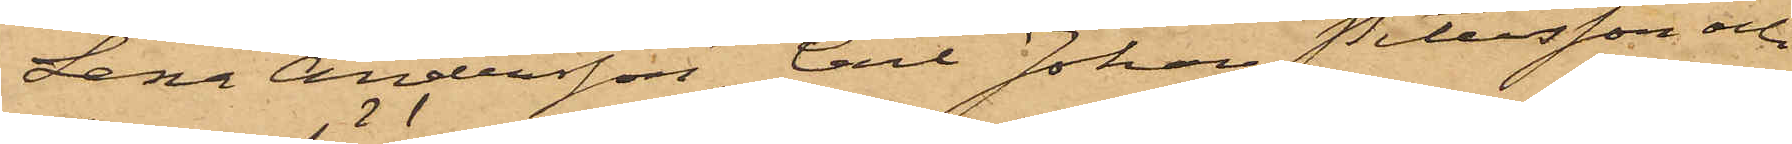Lena Andersson, Carl Johan Petersson och
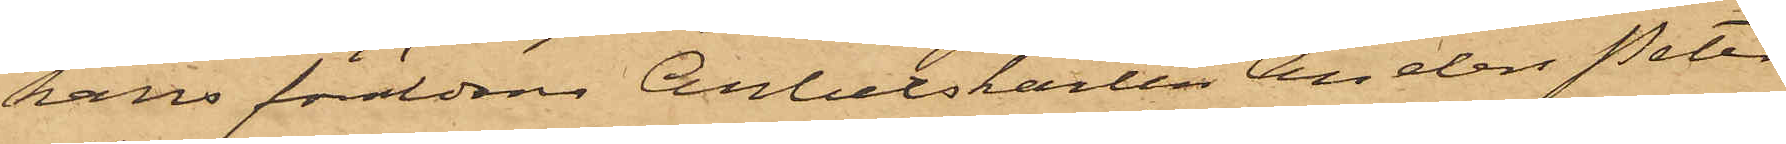hans föräldrar Arbetskarlen Anders Peter
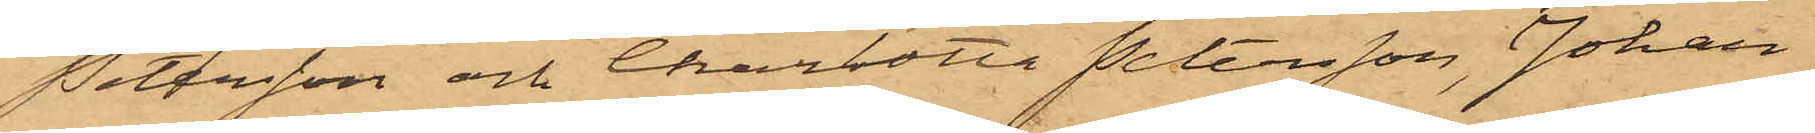Petersson och Charlotta Petersson, Johan
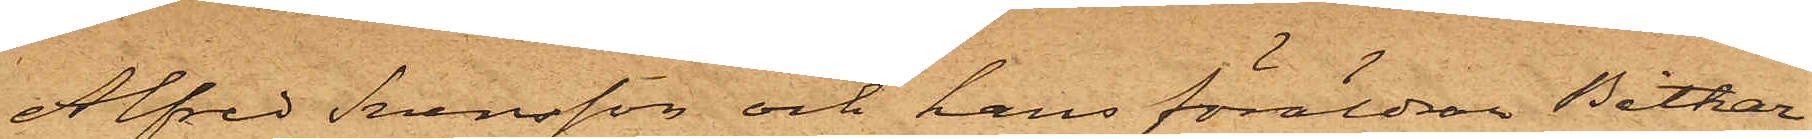Alfred Svensson och hans föräldran Båtkar¬
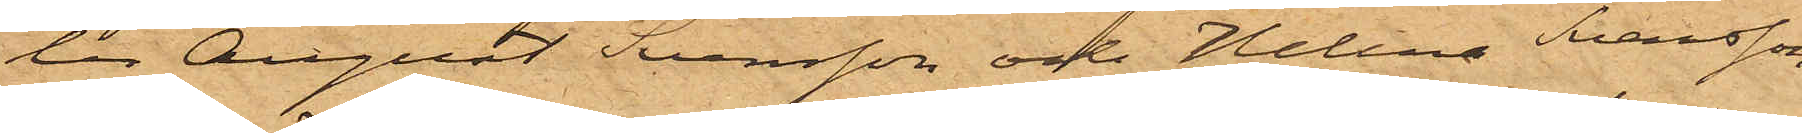len August Svensson och Helena Svensson,
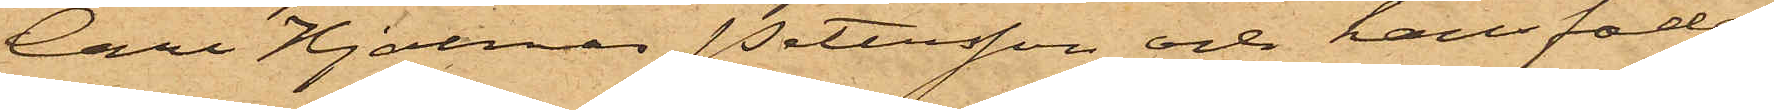Carl Hjalmar Petersson och hans fader
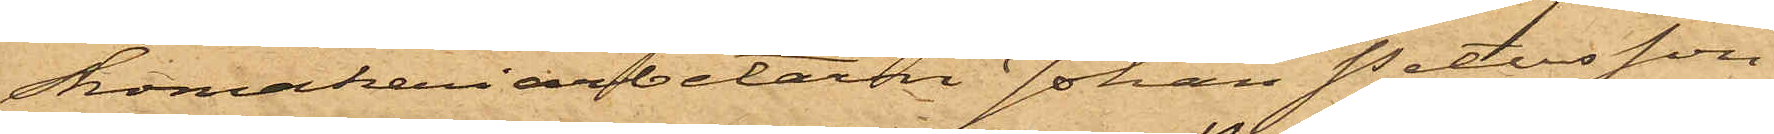Skomakeriarbetaren Johan Petersson
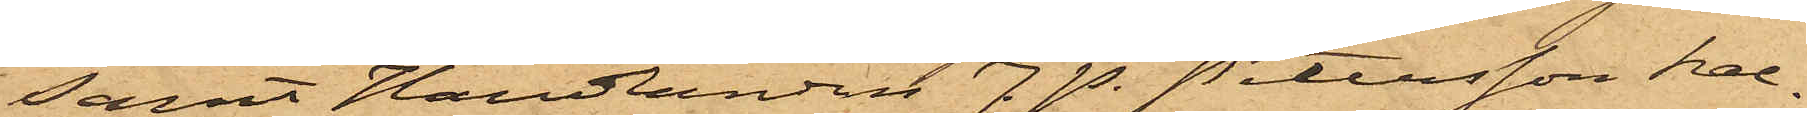samt Handlanden J. P. Petersson kal¬
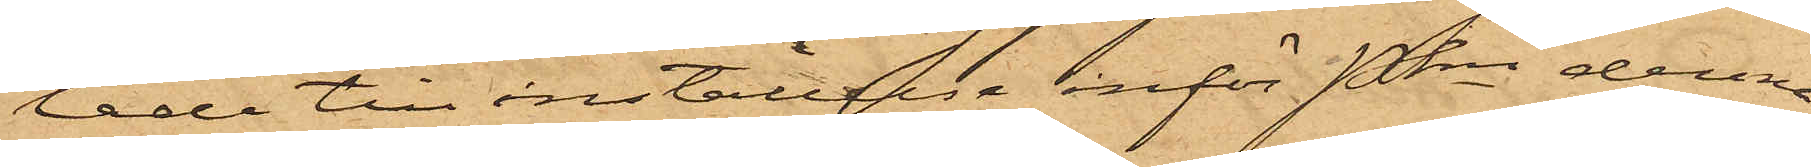lade till inställelse inför Pkn denna
